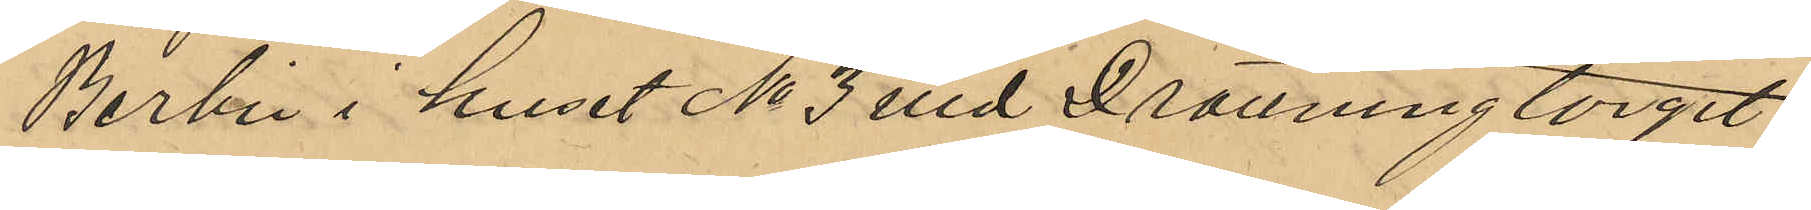Berlin i huset No 3 vid Drottningtorget
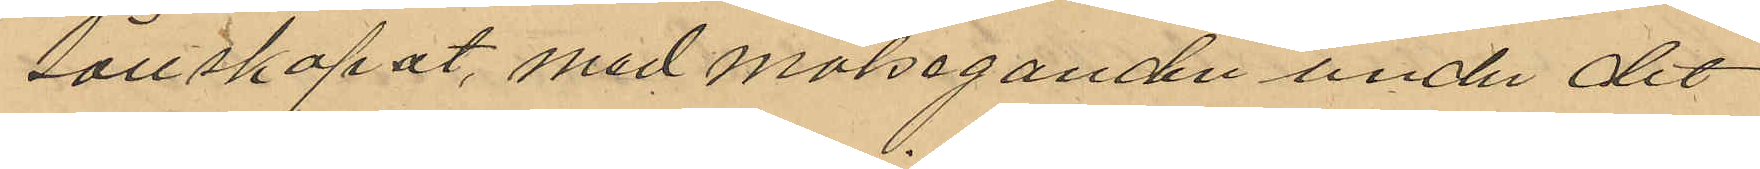sällskapat med målseganden under det
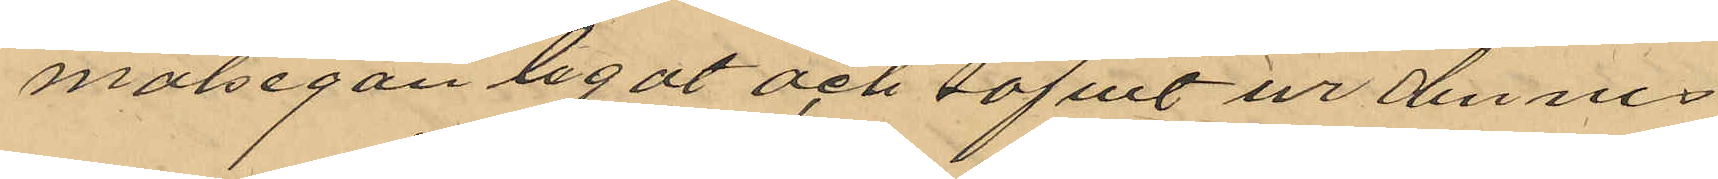målsegan legat och sofvit ur dennes
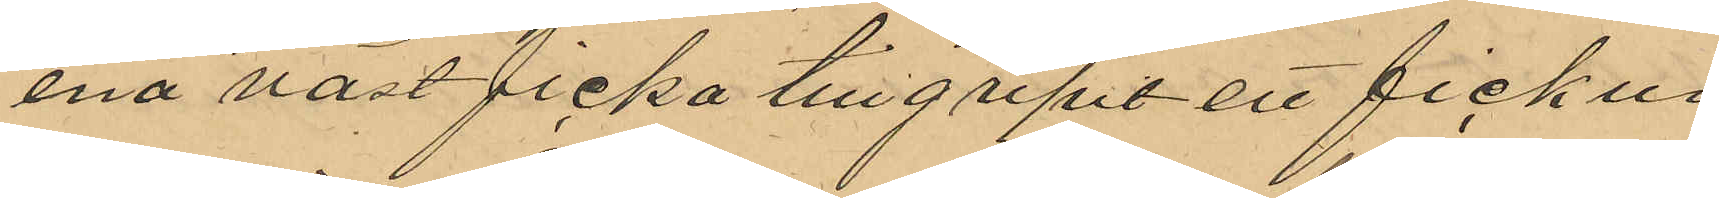ena väst ficka tillgripit ett fickur
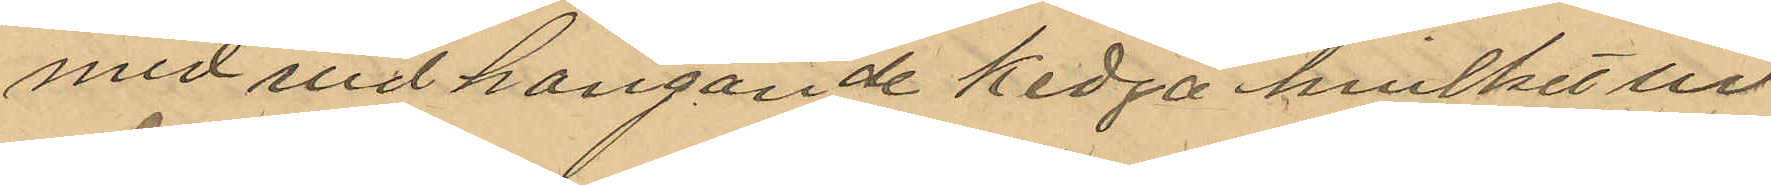med vidhängande kedja hvilket ur
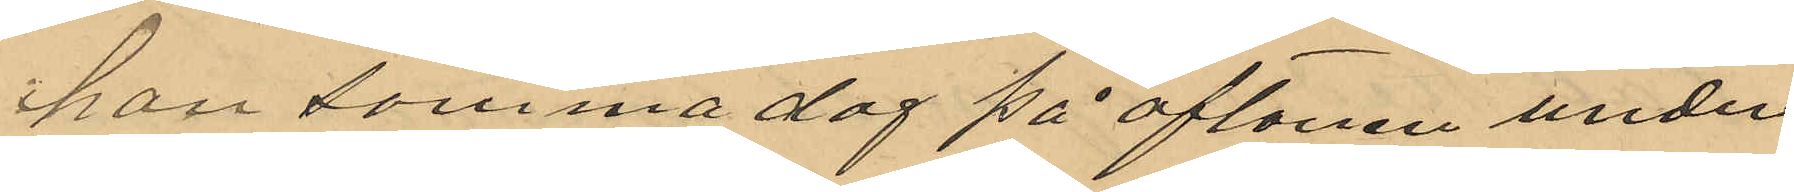han samma dag på aftonen under
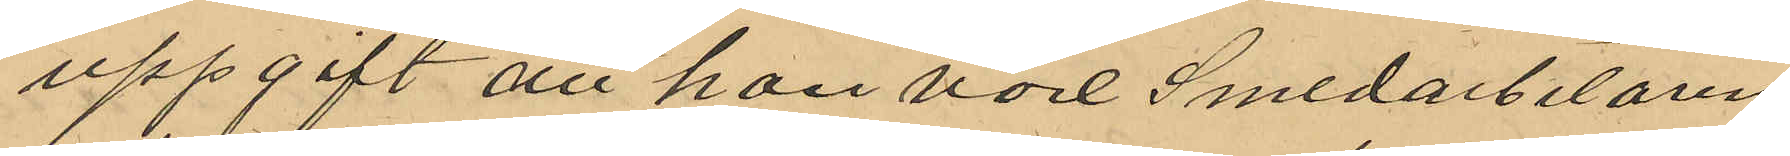uppgift att han vore Smedarbetaren
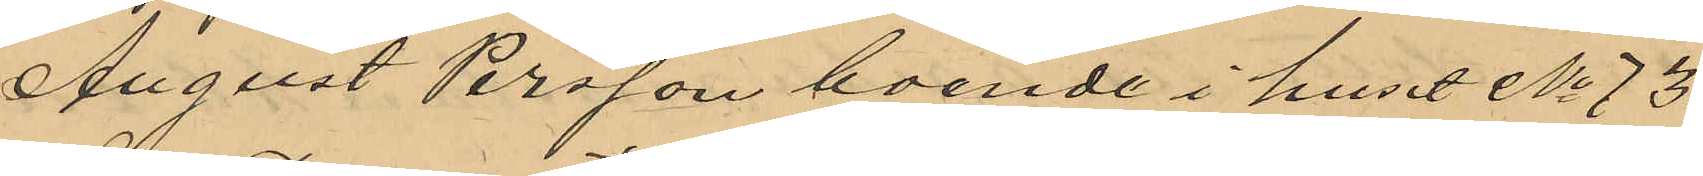August Persson boende i huset No 73
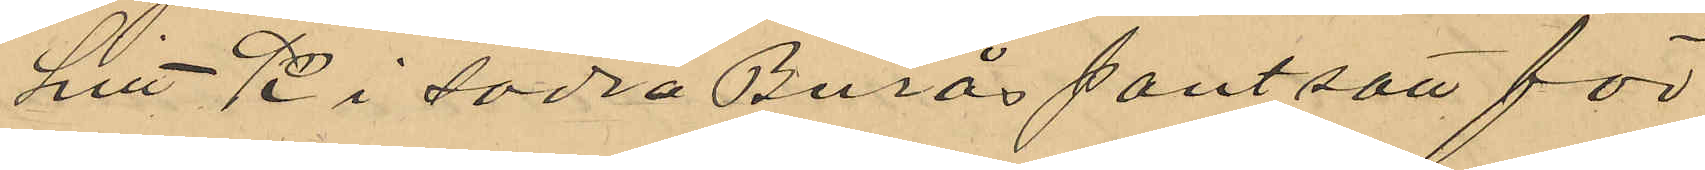Litt K i Södra Burås pantsatt för
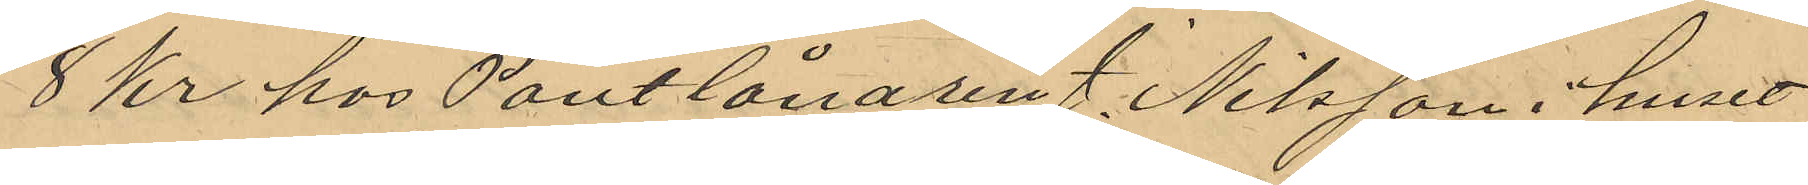8 kr hos Pantlånaren J. Nilsson i huset
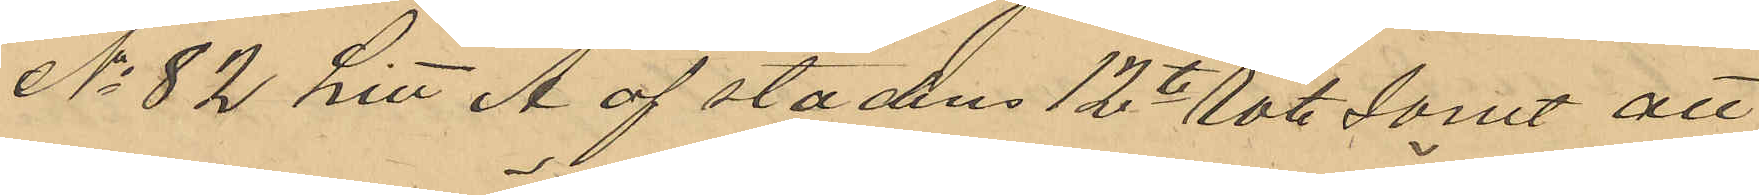No 82 Litt A af stadens 12te Rote samt att
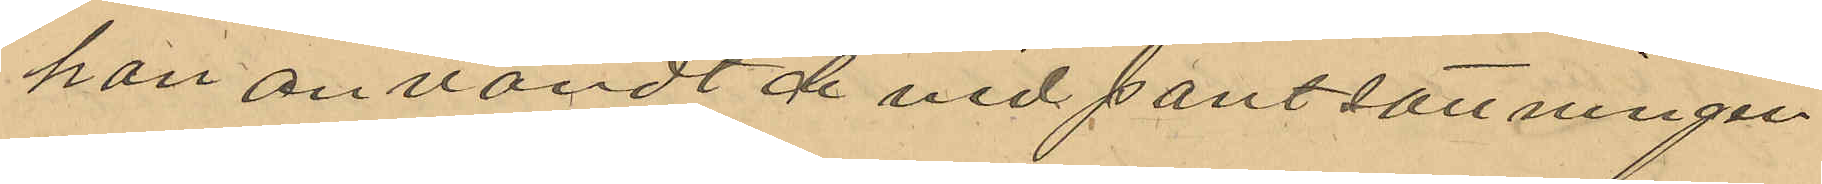han användt de vid pantsättningen
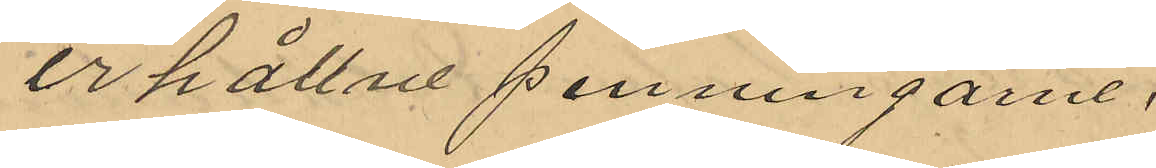erhållne penningarne.
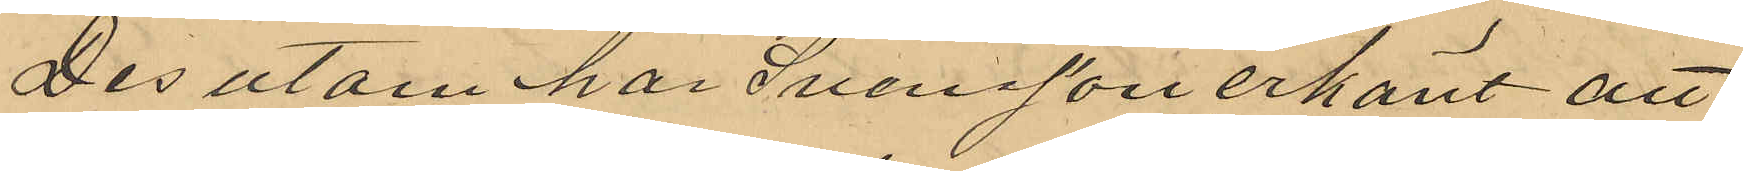Des utom har Svensson erkänt att
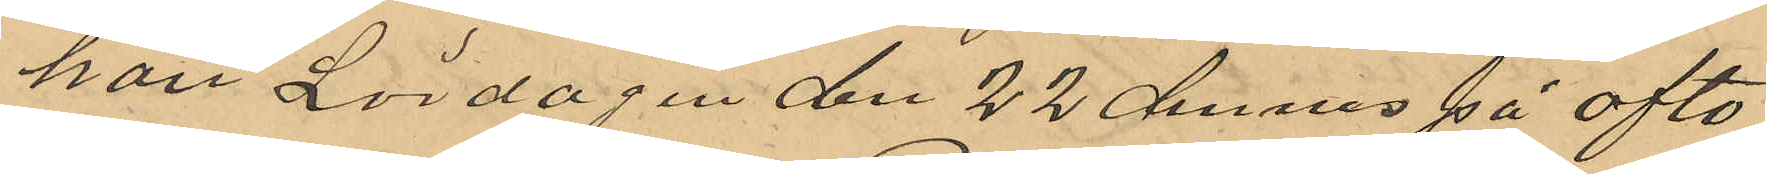han Lördagen den 22 dennes på afto¬
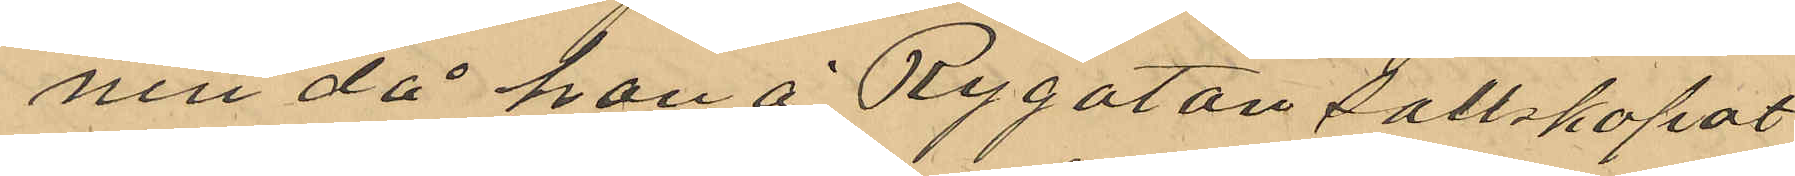nen då han å Rygatan sällskapat
